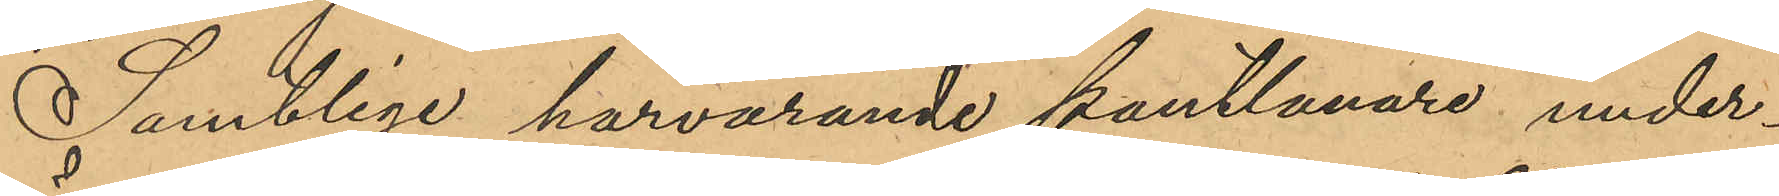Samtlige härvarande pantlånare under¬
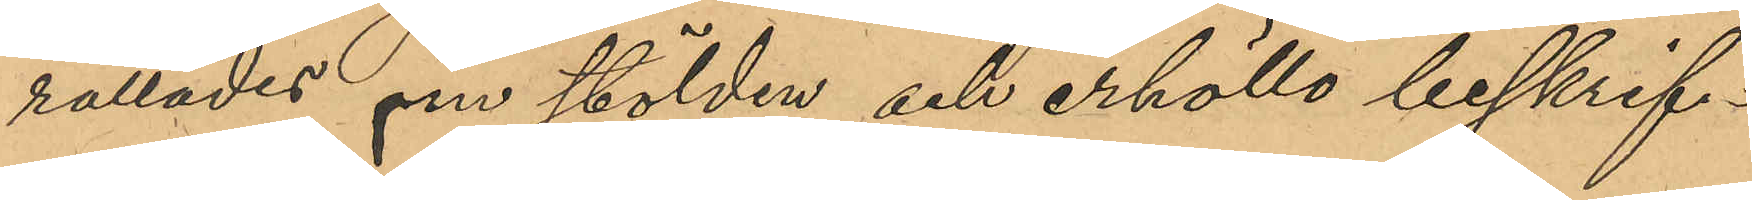rättades om stölden och erhöllo beskrif¬
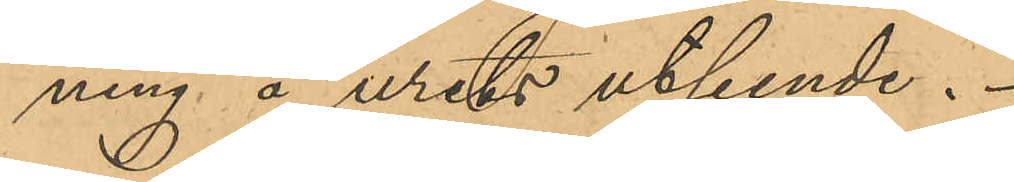ning å urets utseende.
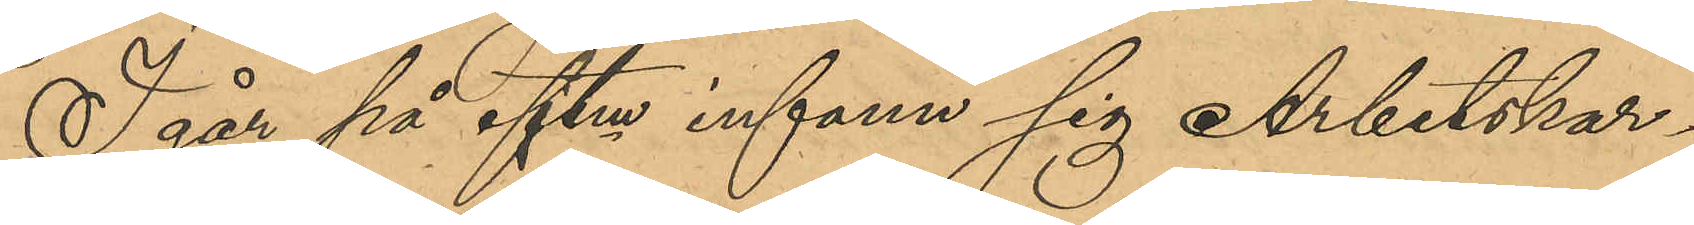Igår på eftm infann sig Arbetskar¬
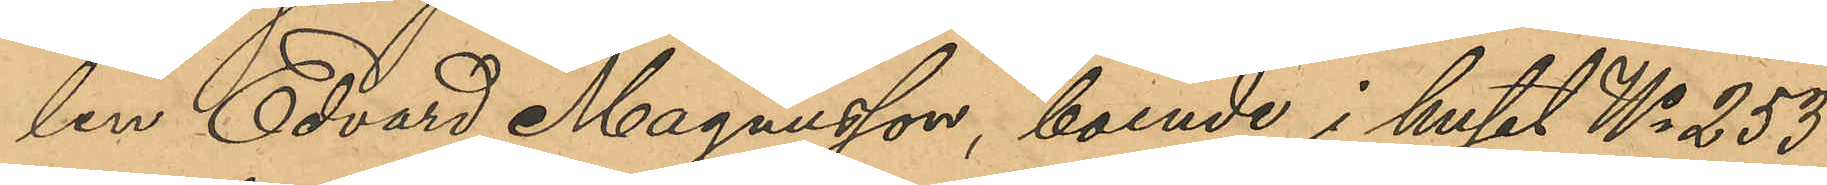len Edvard Magnusson, boende i huset No 253
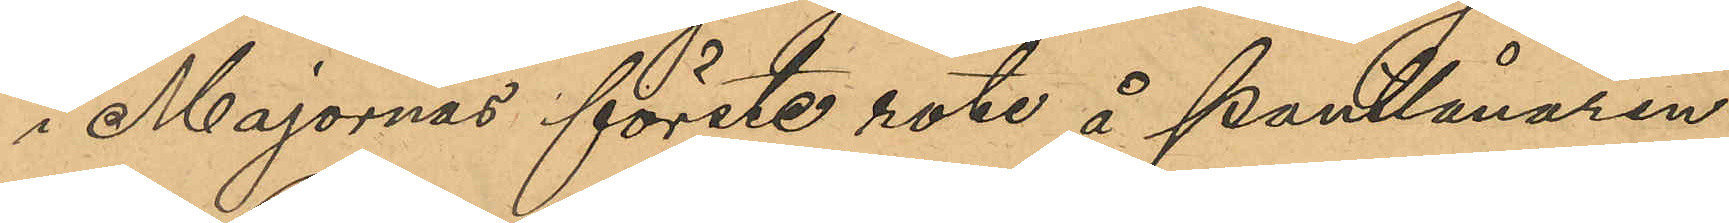i Majornas förste rote å Pantlånaren
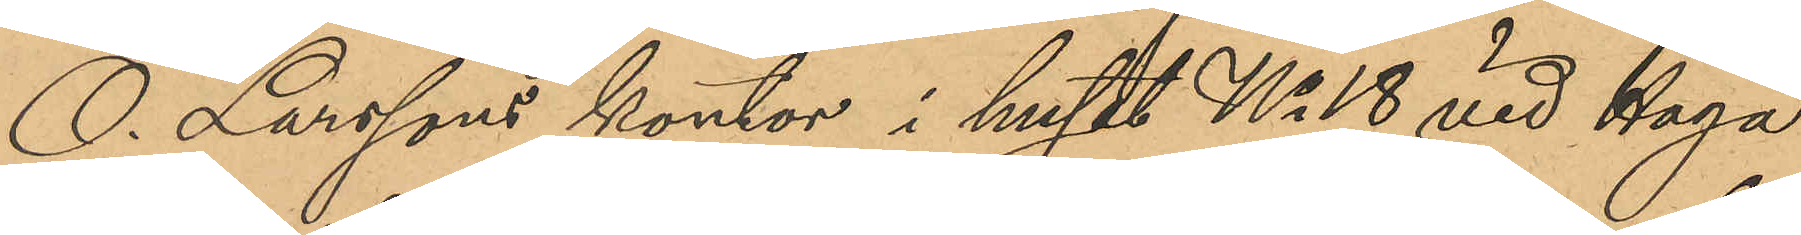O. Larssons kontor i huset No 18 vid Haga
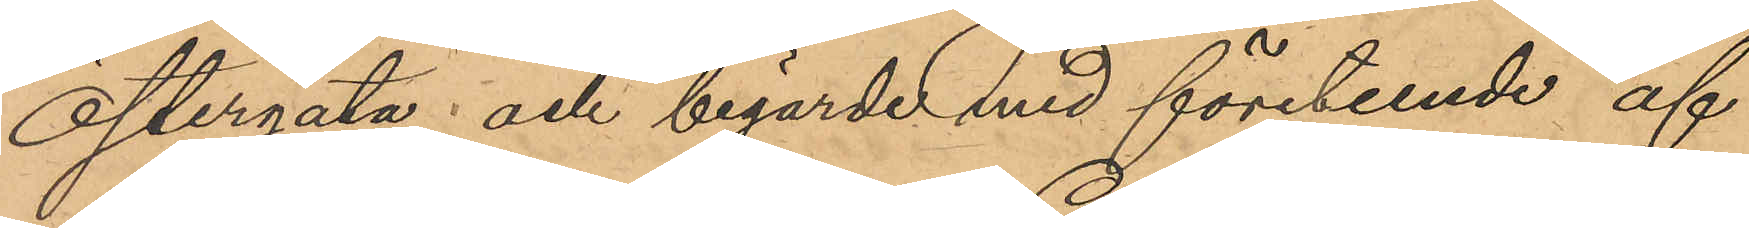Östergata och begärde med företeende af
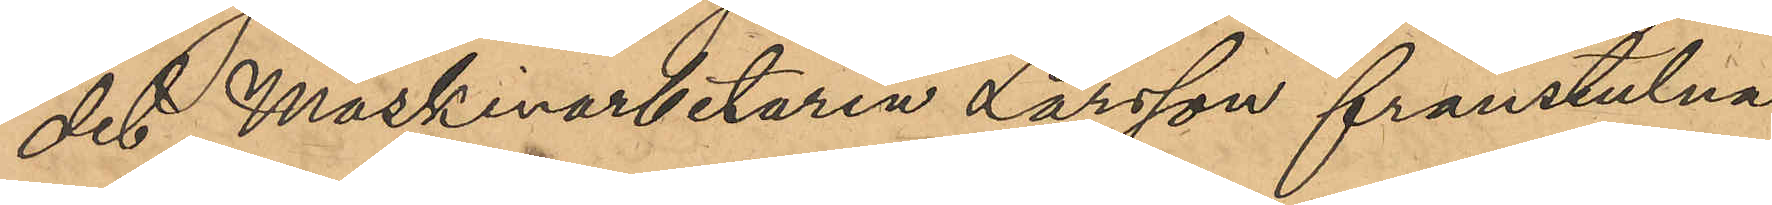det Maskinarbetaren Larsson frånstulna
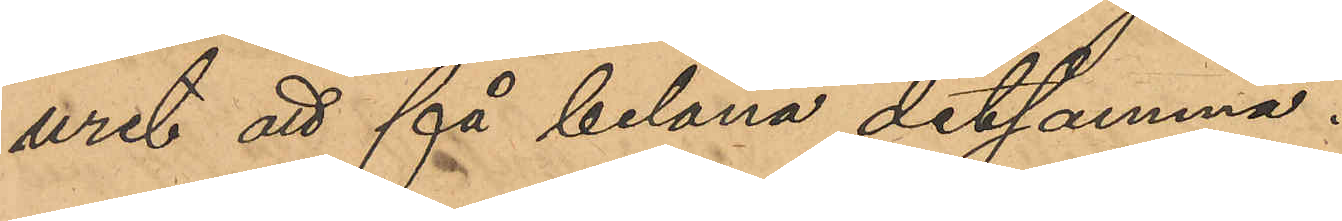uret att få belåna detsamma.
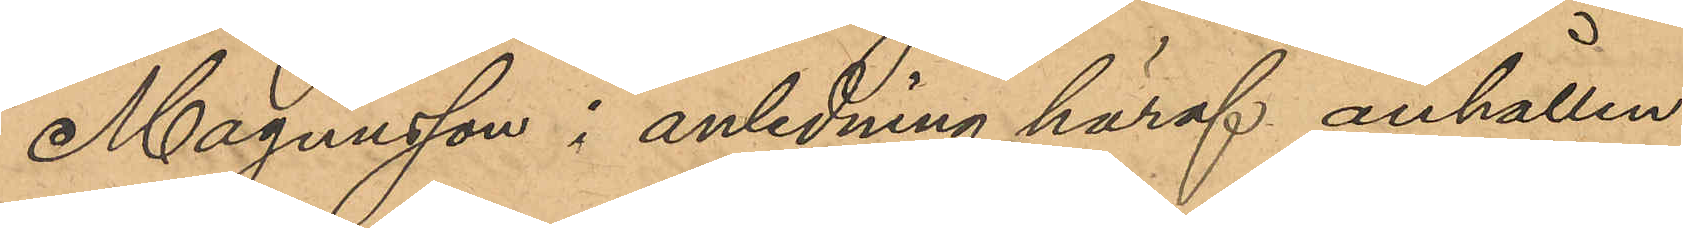Magnusson i anledning häraf anhållen
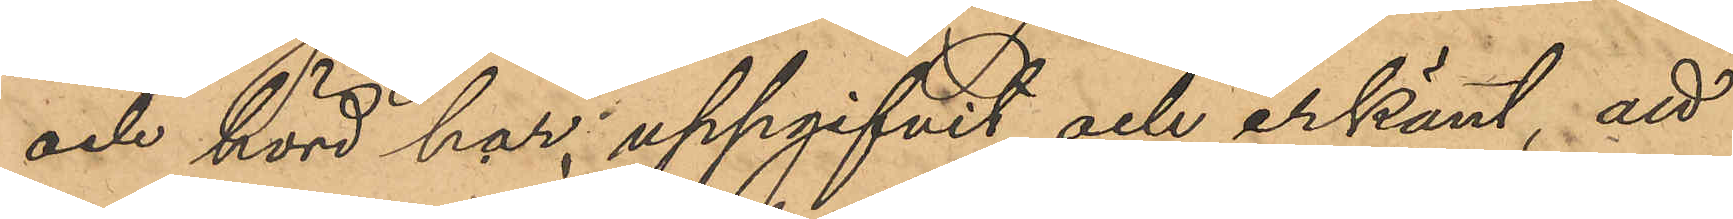och hörd har uppgifvit och erkänt, att
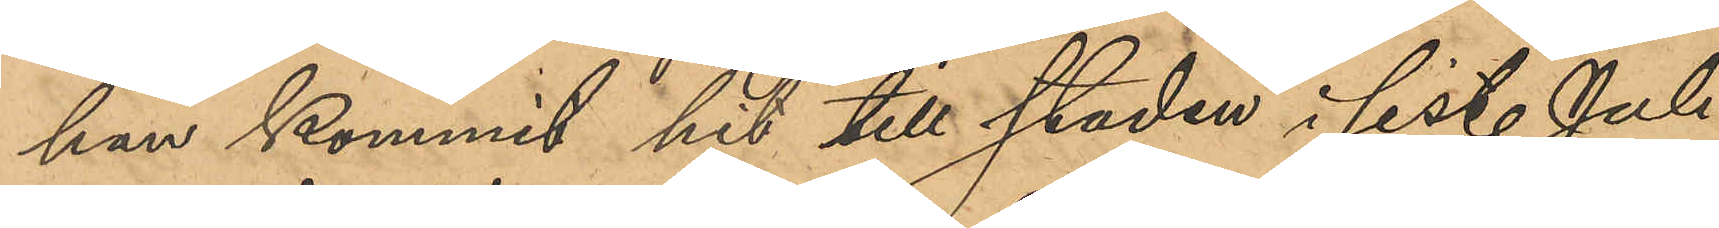han kommit hit till staden i sist. Juli
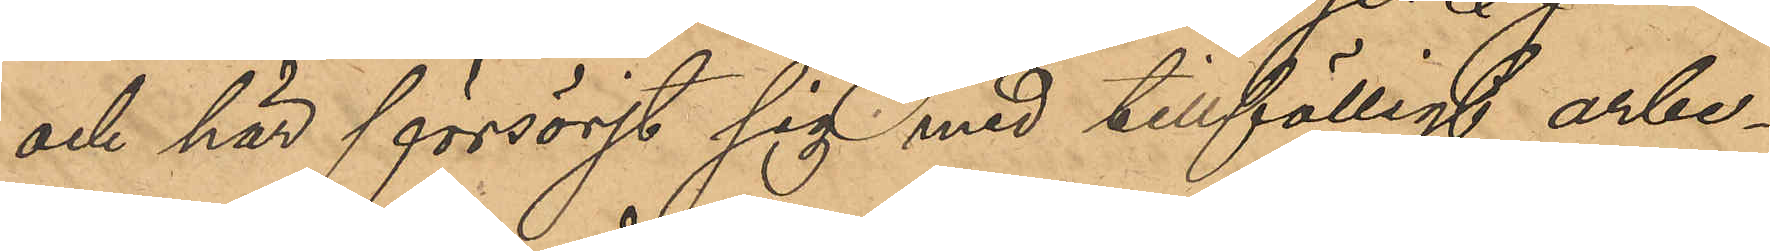och här försörjt sig med tillfälligt arbe¬
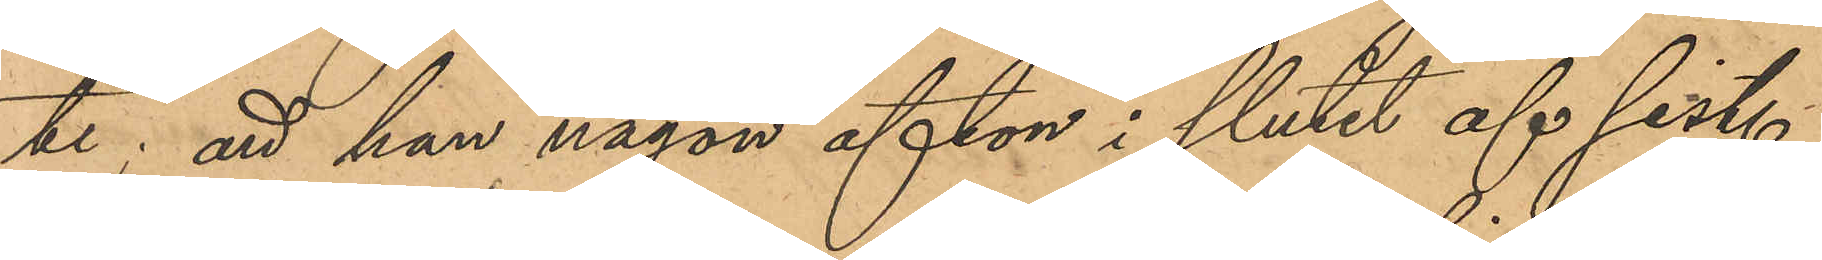te; att han någon afton i slutet af sist.
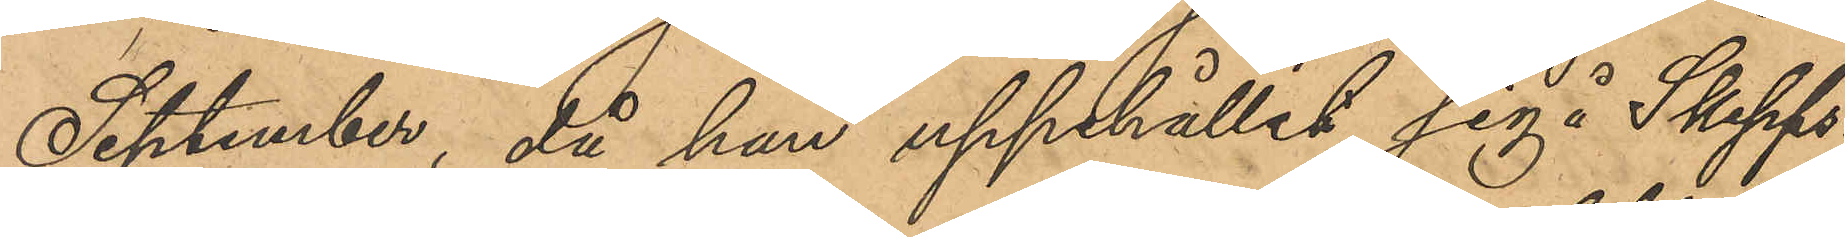September, då han uppehållit sig å Skepps¬
